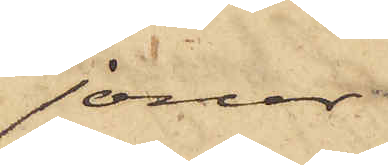jour
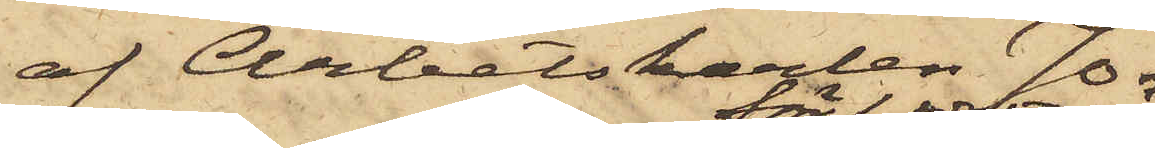af Arbetskarlen Jo¬
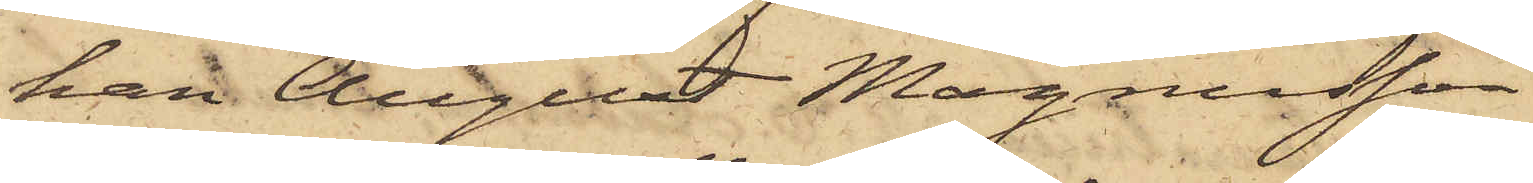han August Magnusson
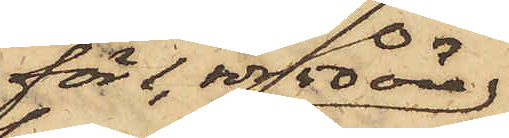för 1 rdr 50 öre
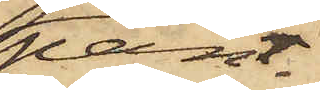pant¬
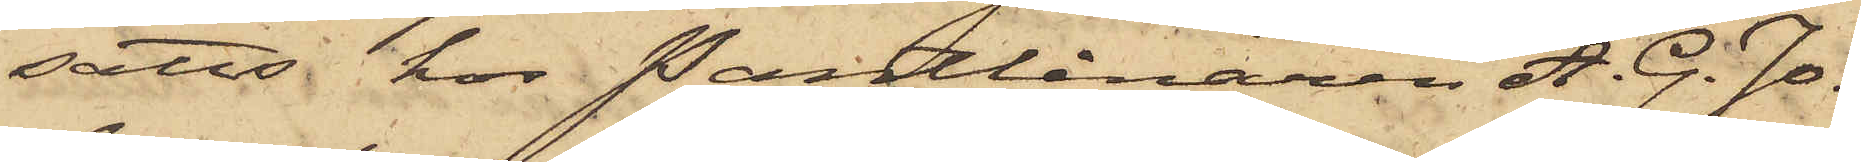satts hos Pantlånaren A. G. Jo¬
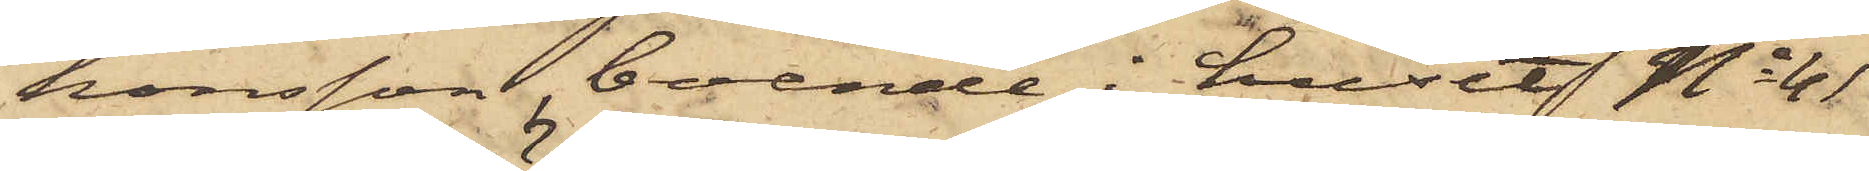hansson, boende i huset No 41
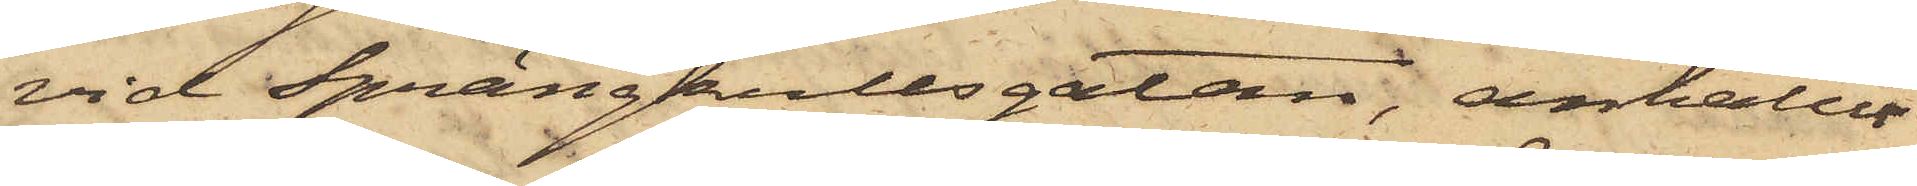vid Sprängkullsgatan, anhållit
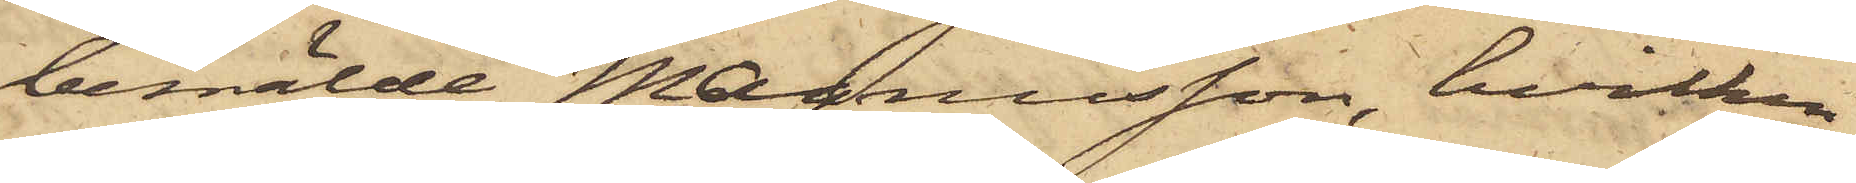bemälde Magnusson, hvilken
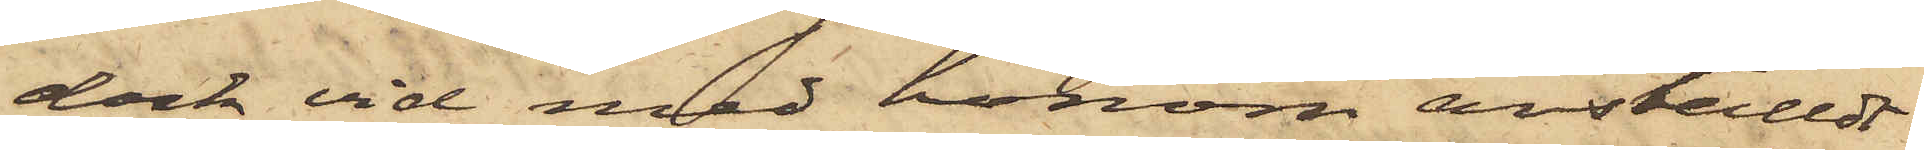dock vid med honom anställdt
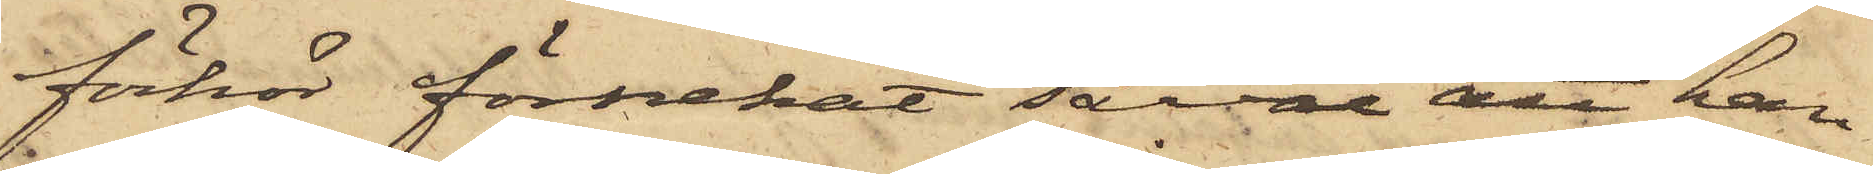förhör förnekat såväl att han
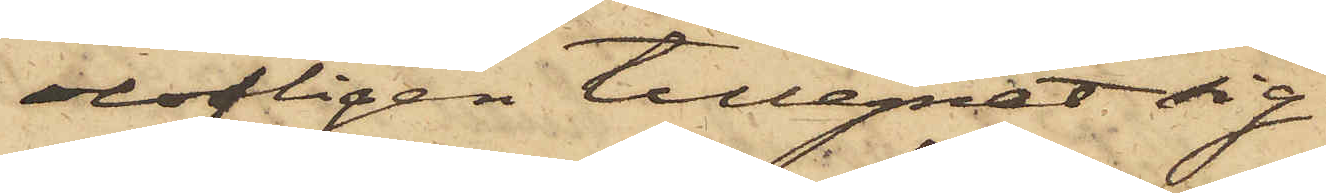olofligen tillegnat sig
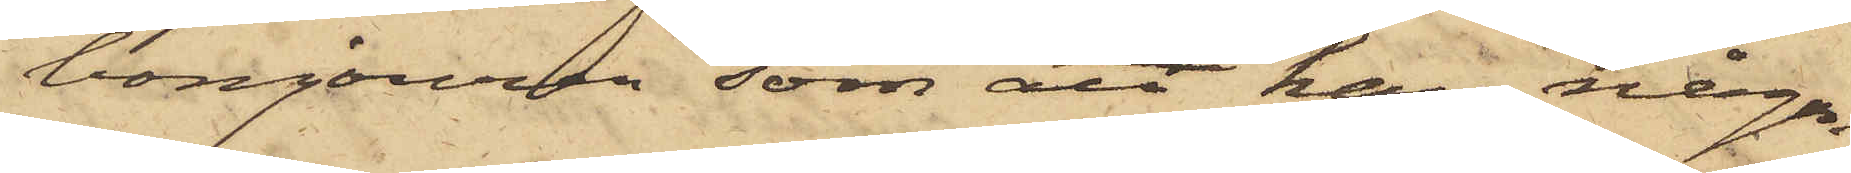bonjouren som att han någon¬
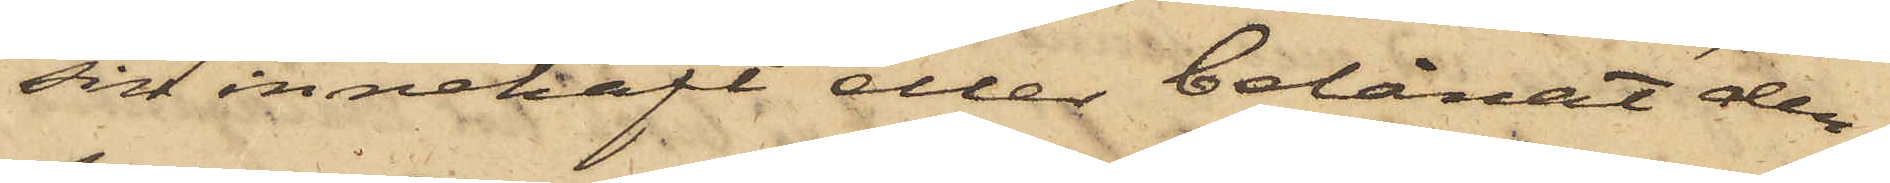sin innehaft eller belånat den
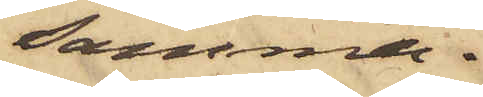samma.
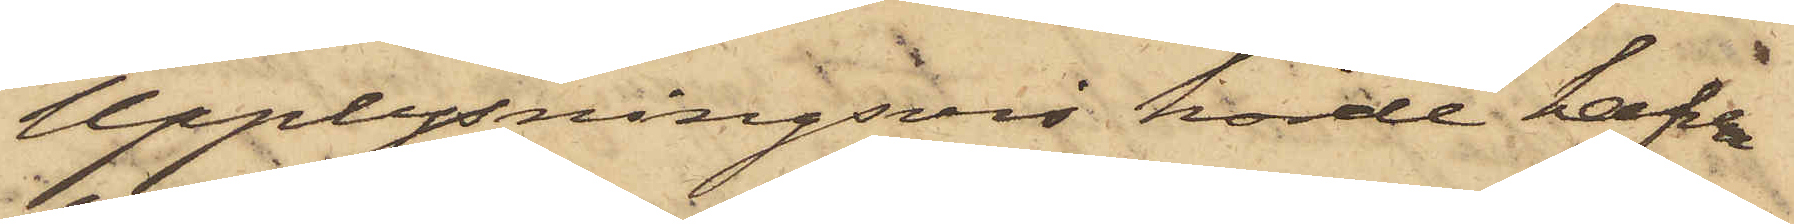Upplysningsvis hörde hafva
